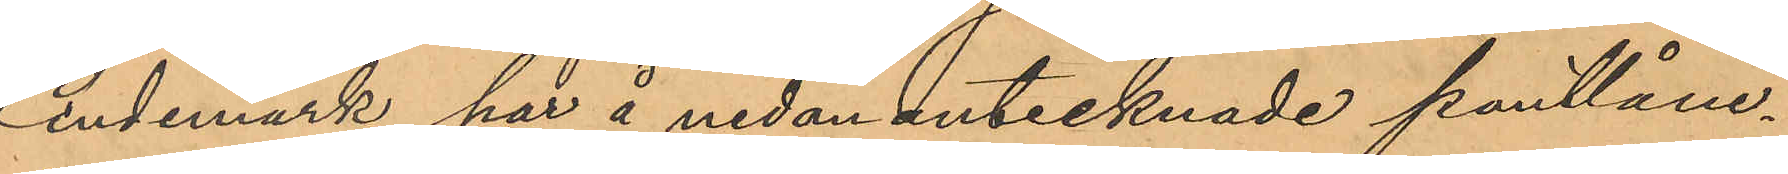Lindemark har å nedan antecknade pantlåne¬
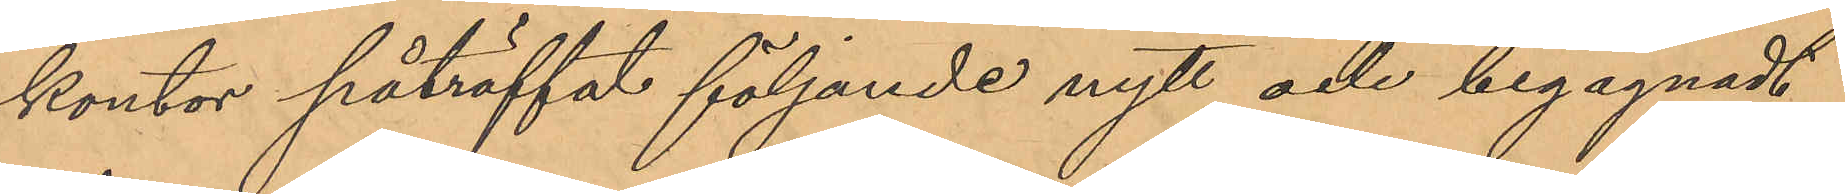kontor påträffat följande nytt och begagnadt
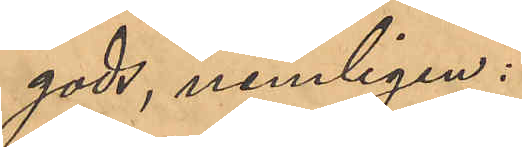gods, nemligen:
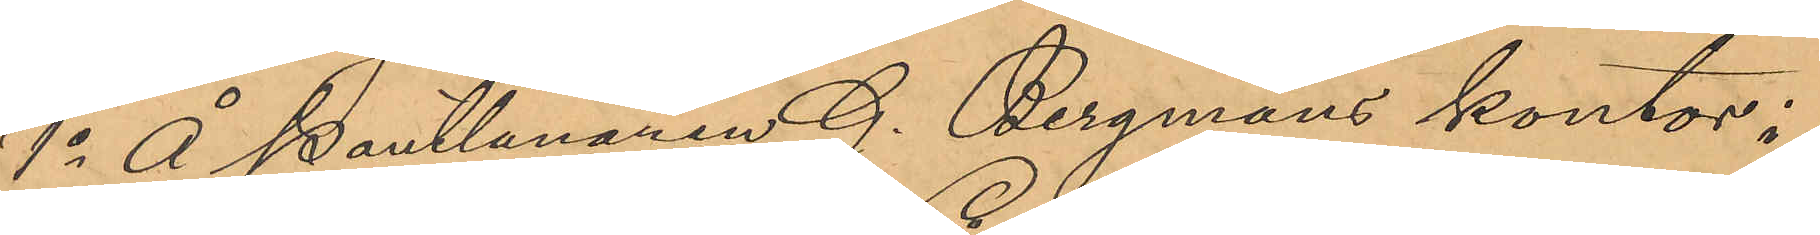1o Å Pantlånaren G. Bergmans kontor i
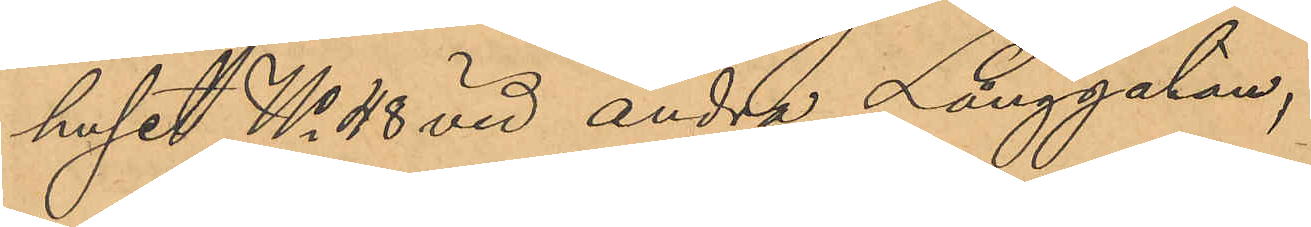huset No 48 vid andra Långgatan,
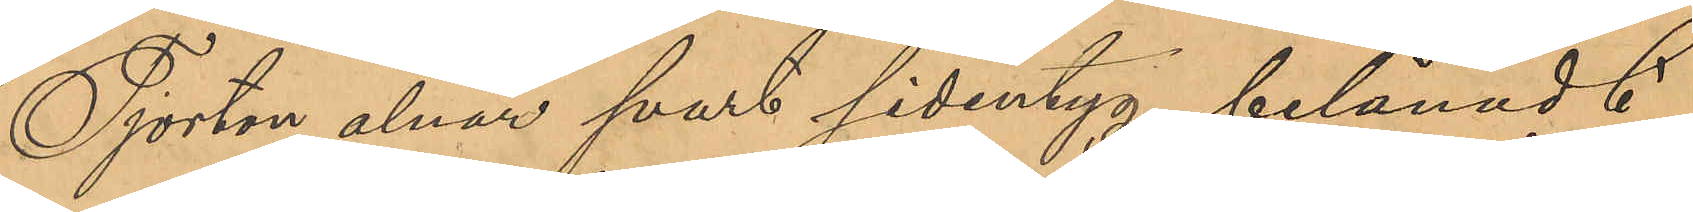Fjorton alnar svart sidentyg, belånadt
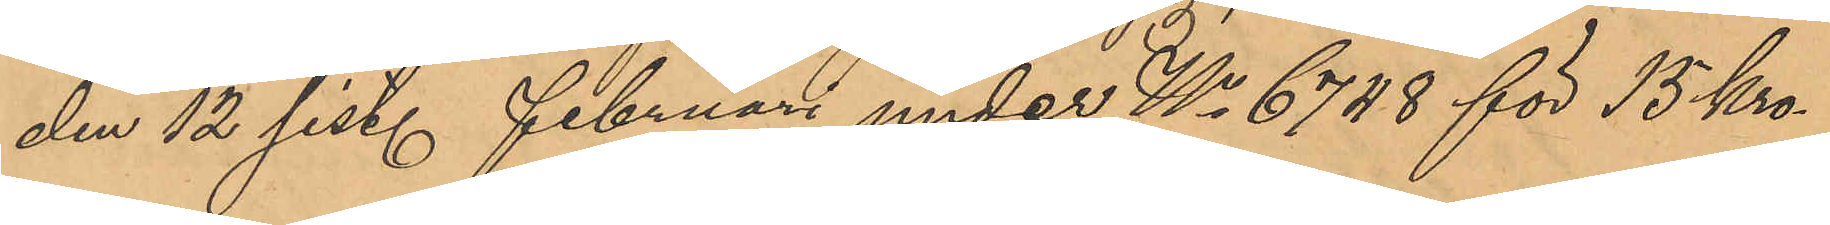den 12 sist. Februari under No 6748 för 15 Kro¬
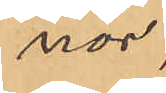nor,
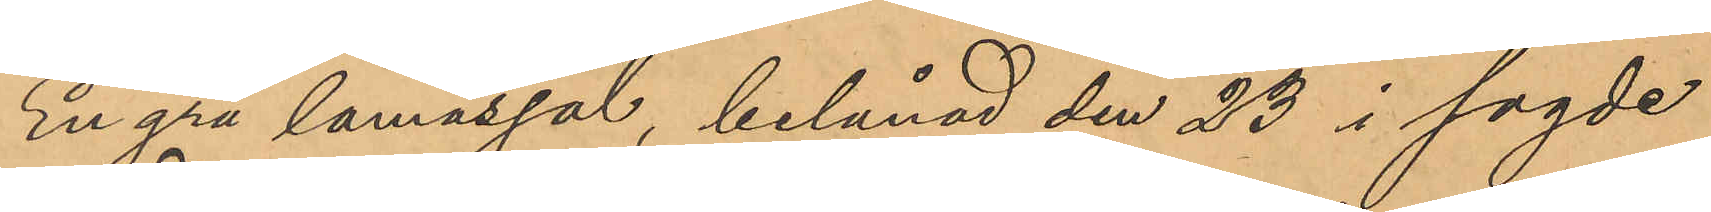En grå lamasjal, belånad den 23 i sagde
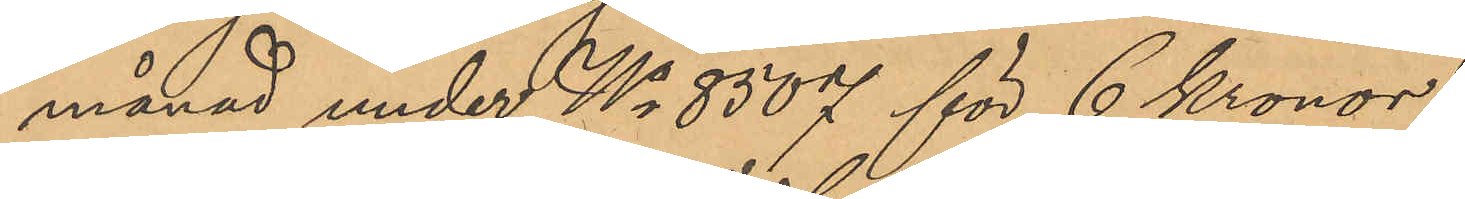månad under No 8507 för 6 Kronor,
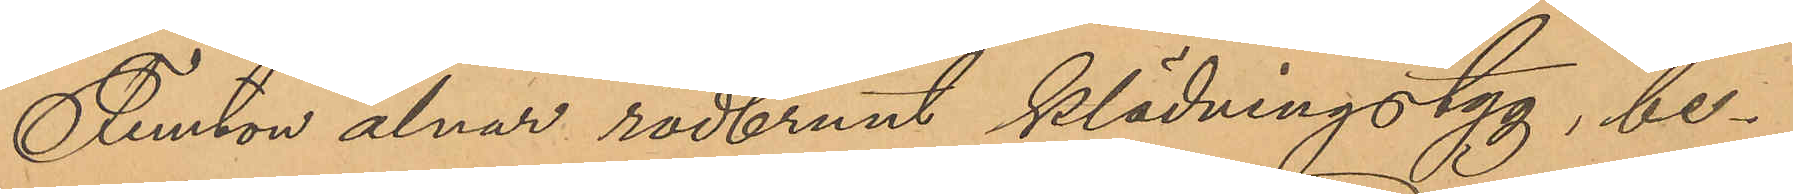Femton alnar rödbrunt klädningstyg, be¬
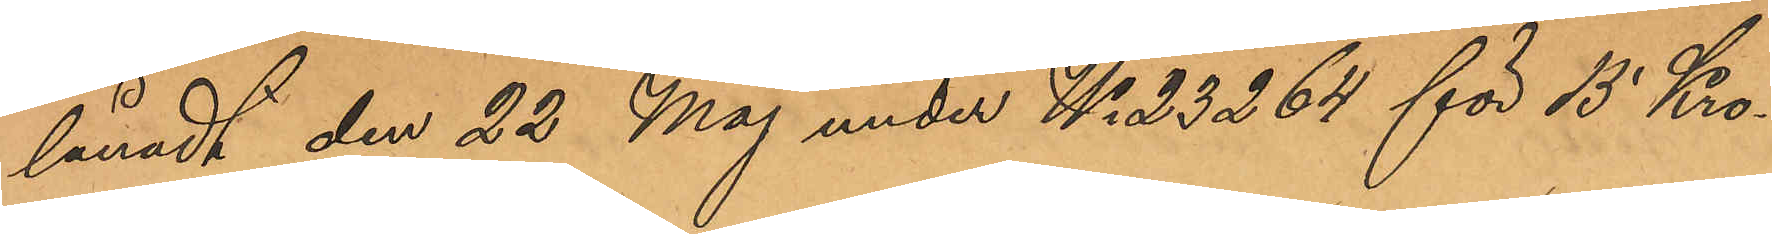lånadt den 22 Maj under No 23264 för 15 Kro¬
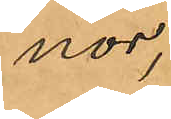nor,
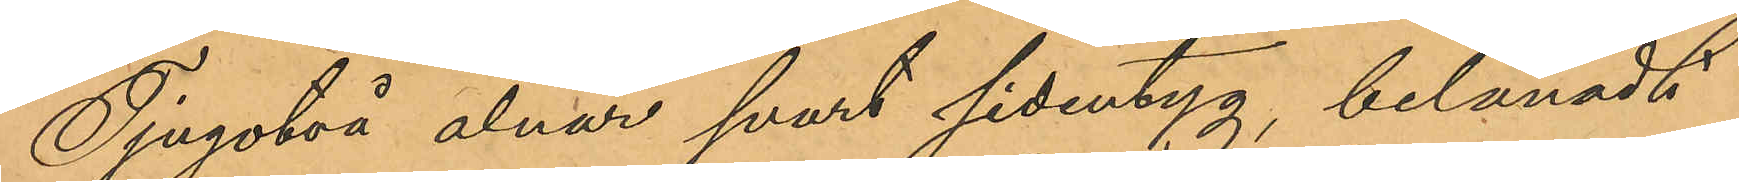Tjugotvå alnar svart sidentyg, belånadt
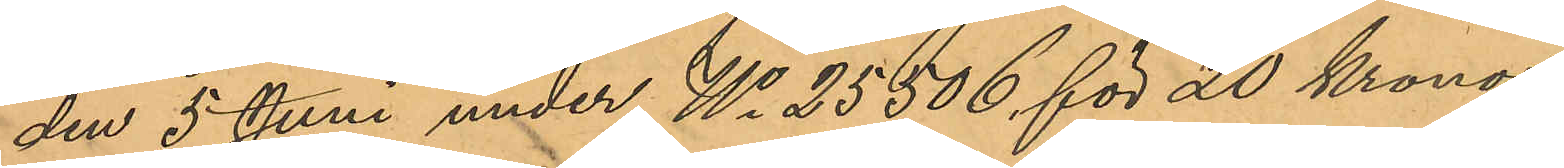den 5 Juni under No 25506 för 20 Kronor,
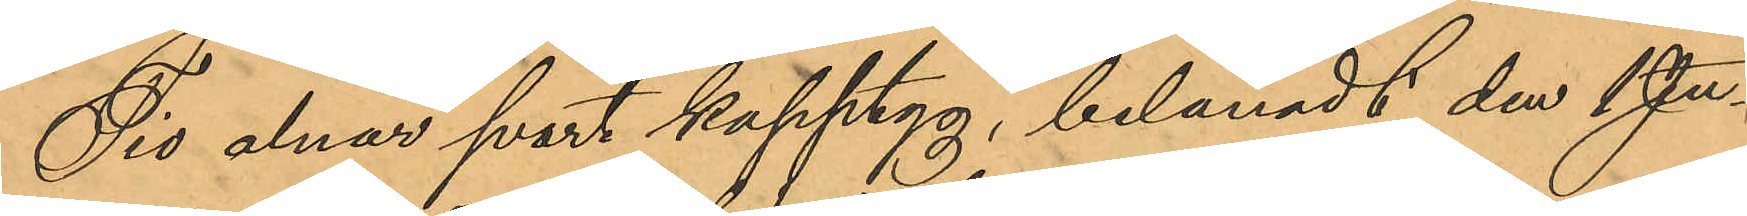Tio alnar svart kapptyg, belånadt den 1 Ju¬
